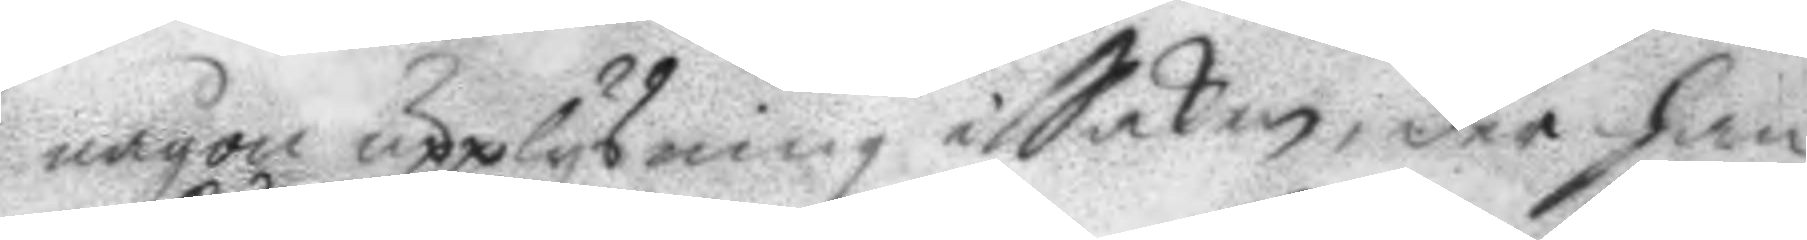någon upplysning i Saken, der han
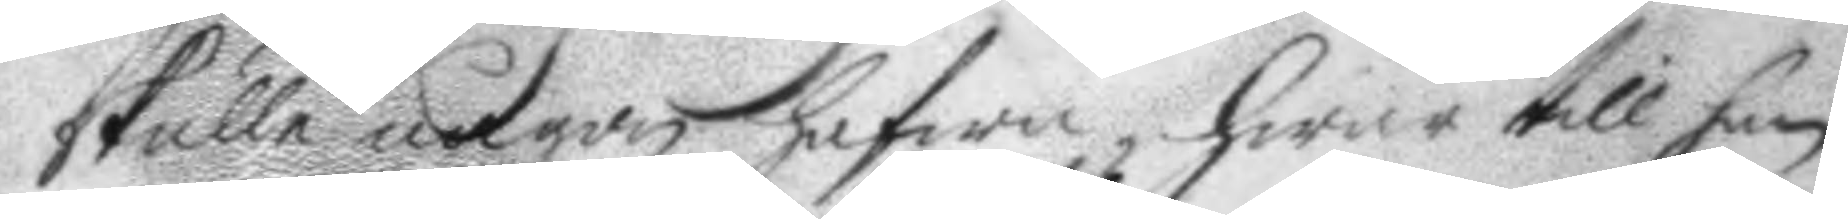skulle någon hafwa, hwar till han
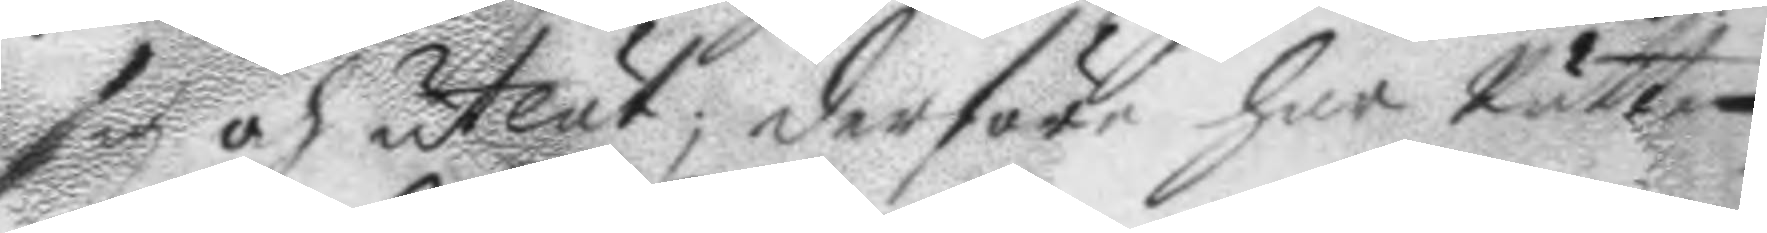sig och utlät; derföre har Rätten
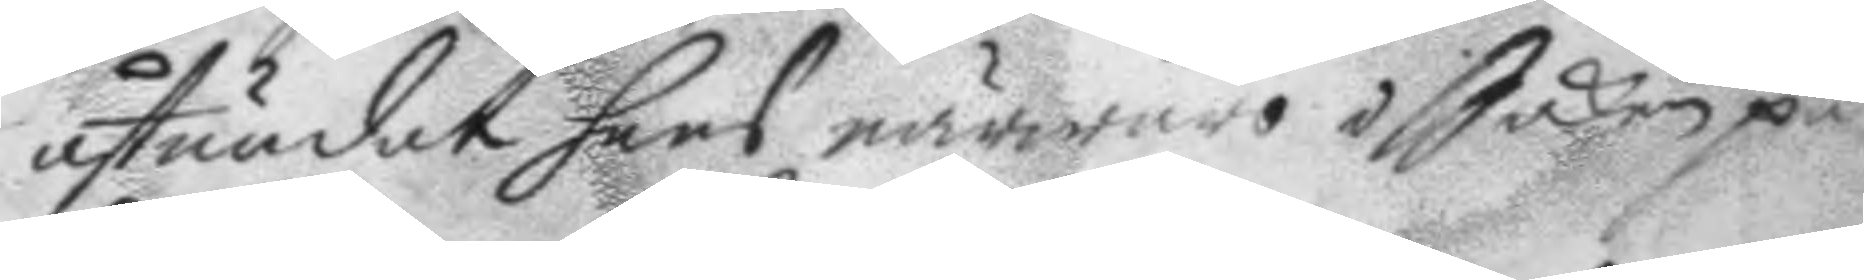åstundat hans närwaro i Saken på
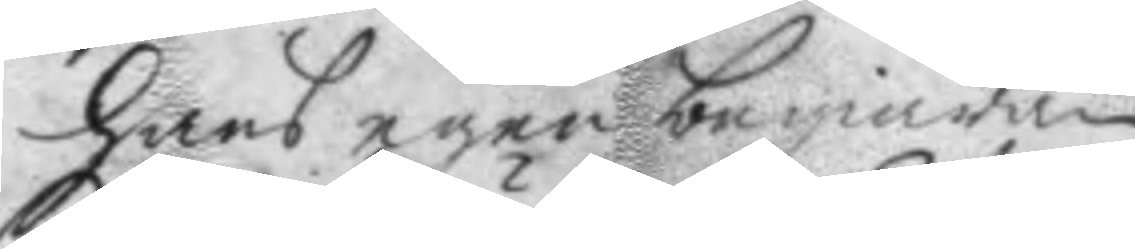hans egen begiäran.
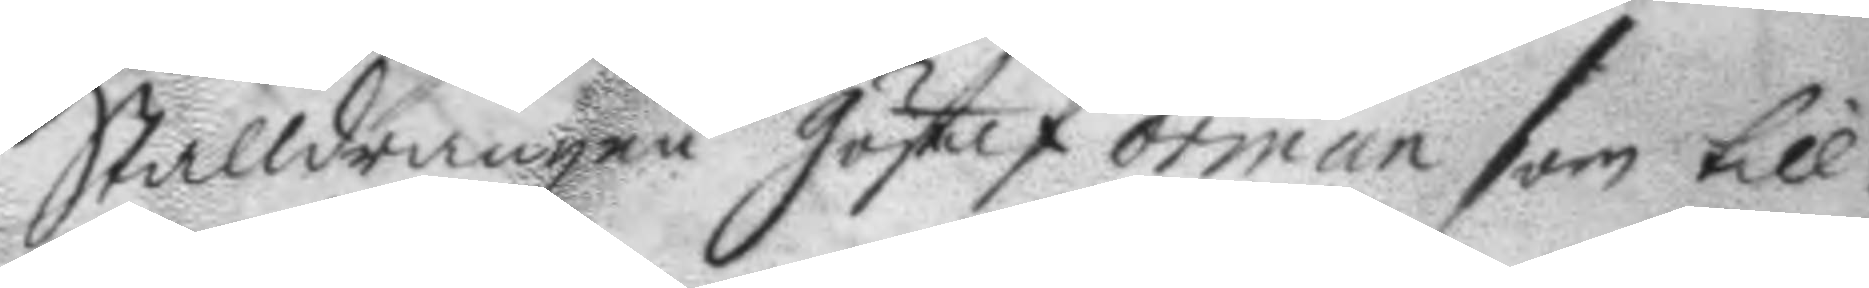Stalldrängen Göstaf örman som till¬
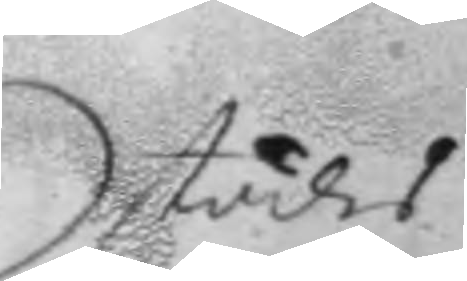städes
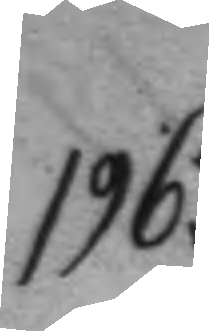196.
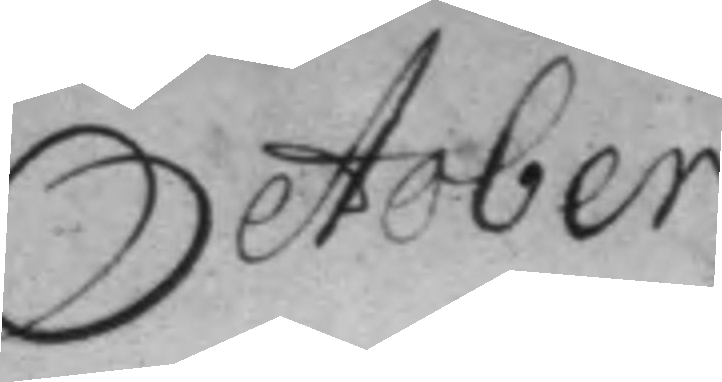October.
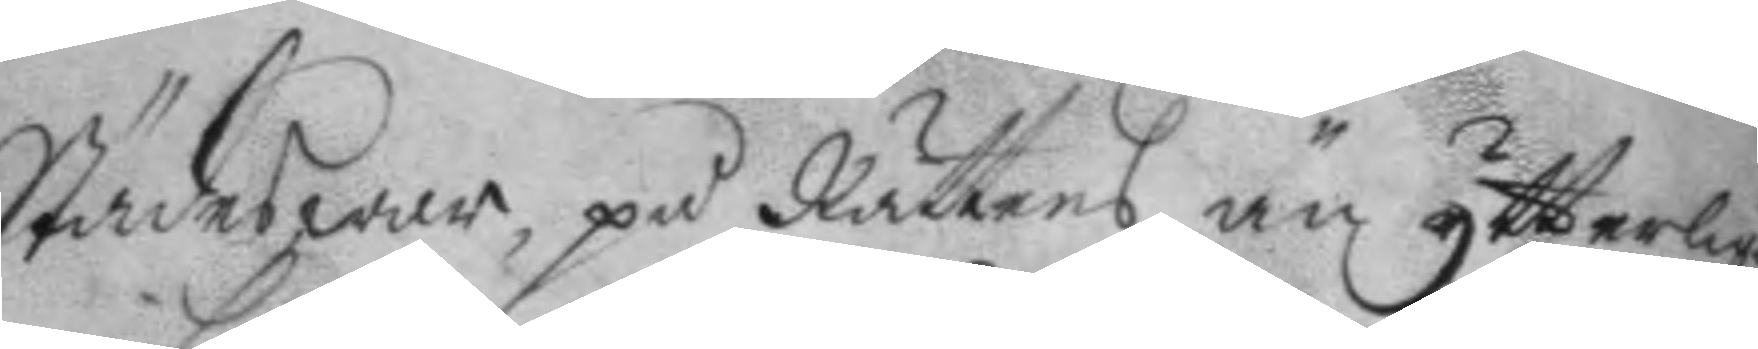Städes war, på Rättens än ytterliga¬
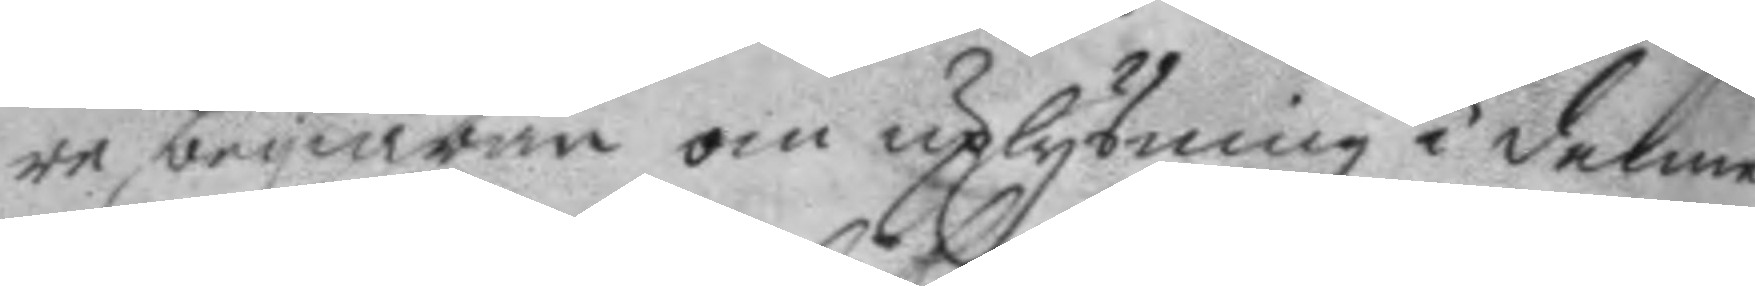re begiäran om uplysning i denne
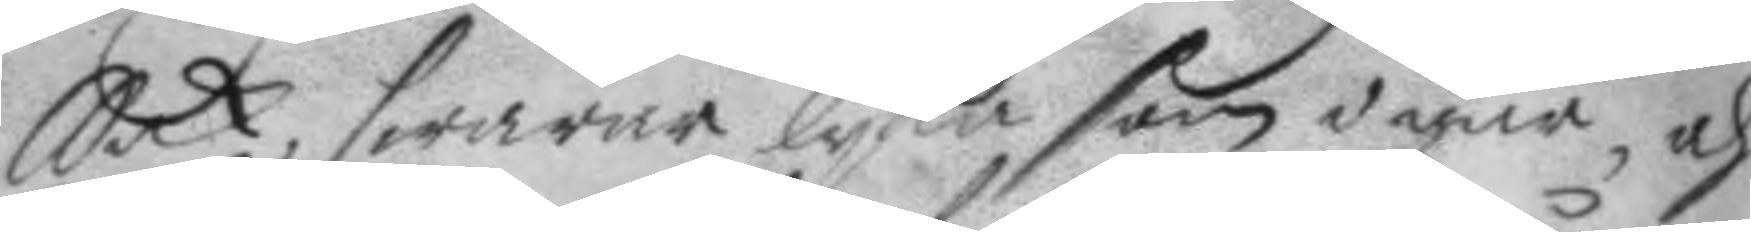Sak, swarade lyka som igår, och
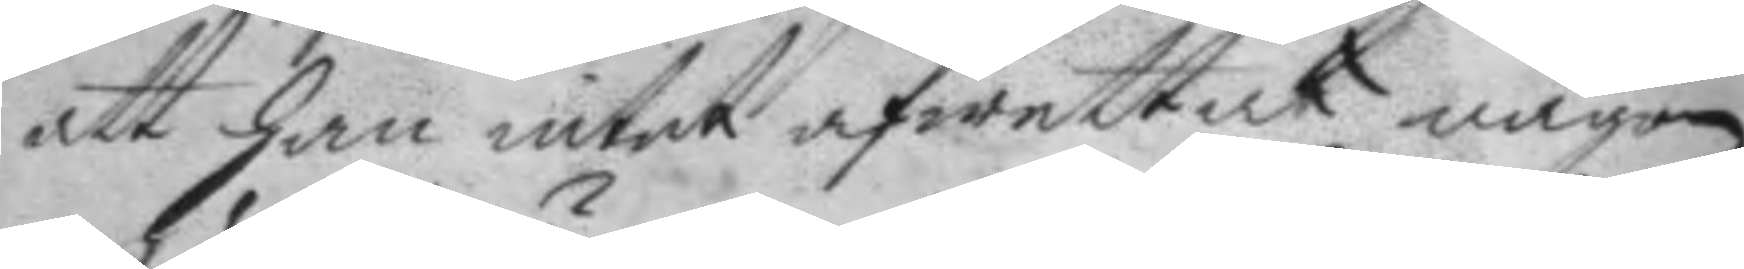att han intet afwettat någon
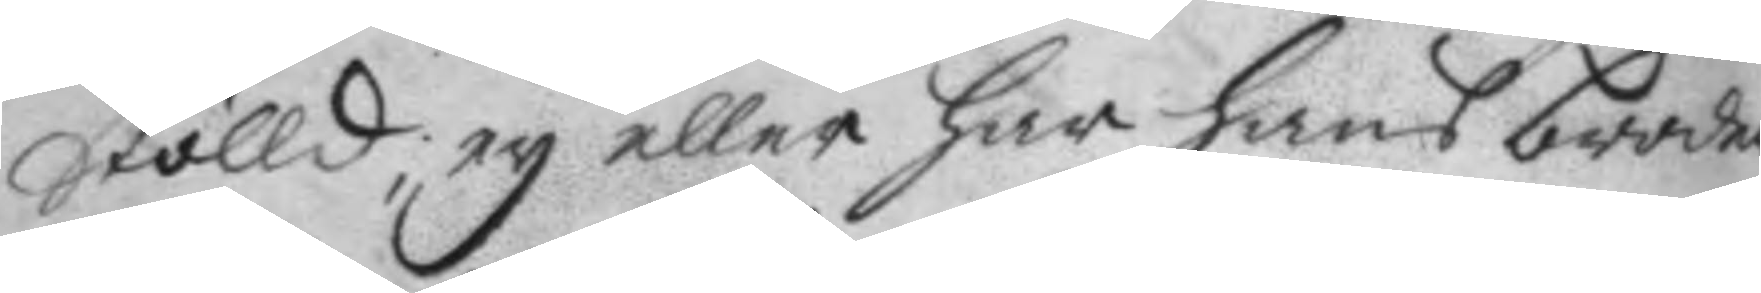Stölld, ey eller har hans broder
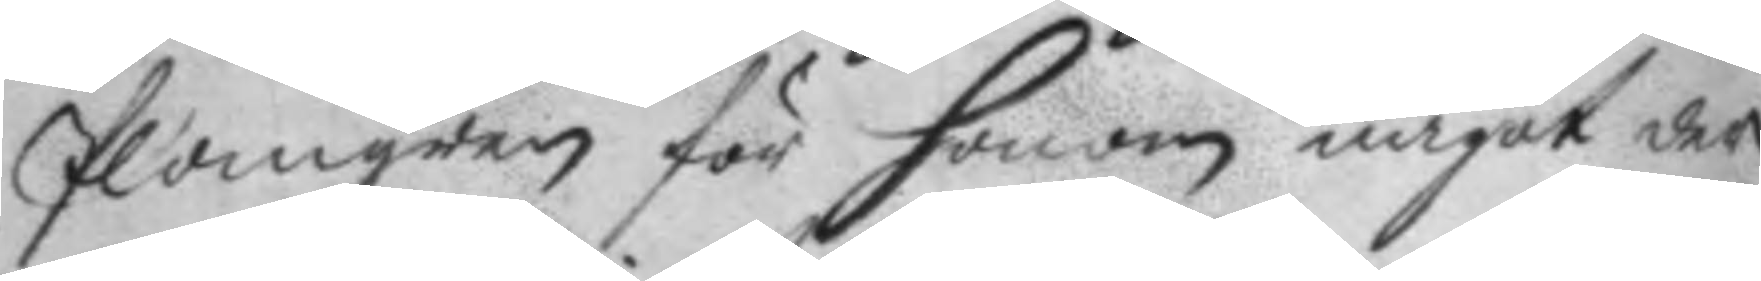Plomgren för honom något der¬
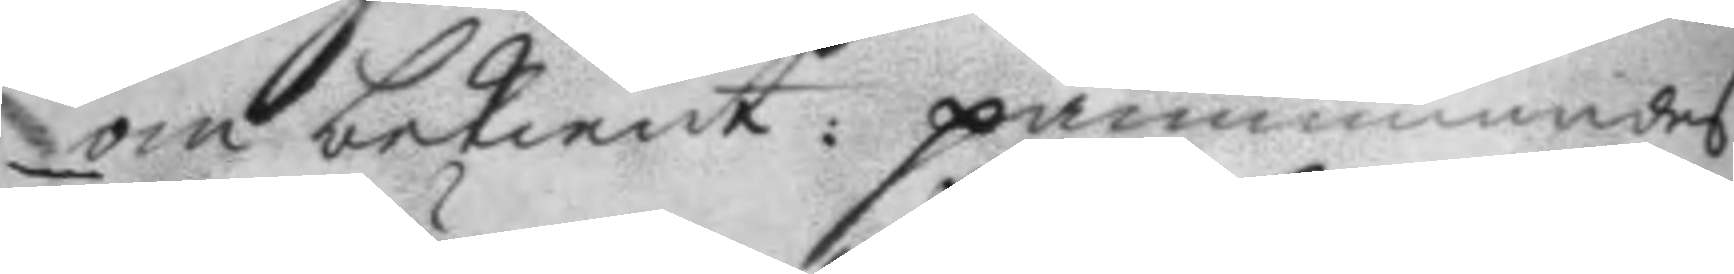om bekient: påminnandes
